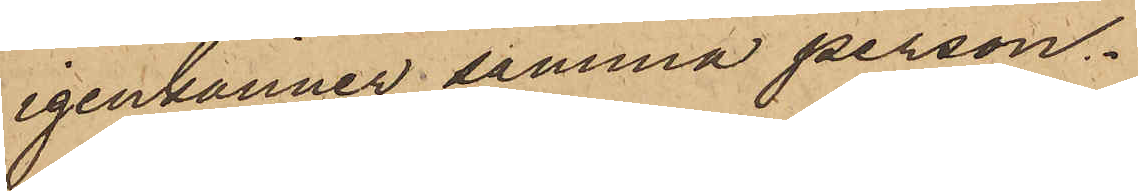igenkänner samma person.
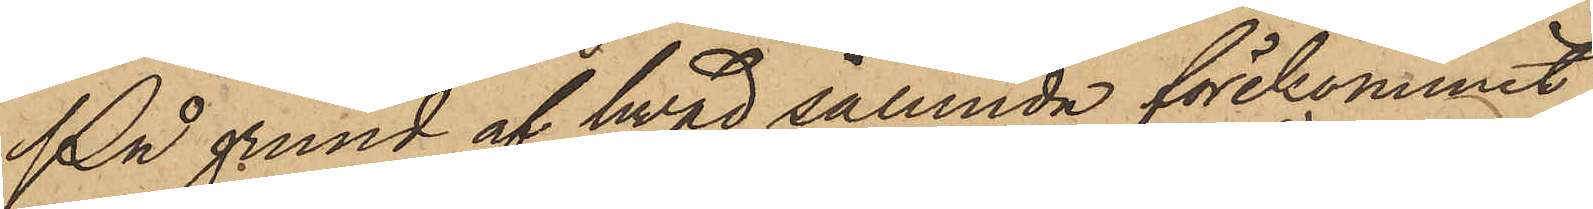På grund af hvad sålunda förekommit,
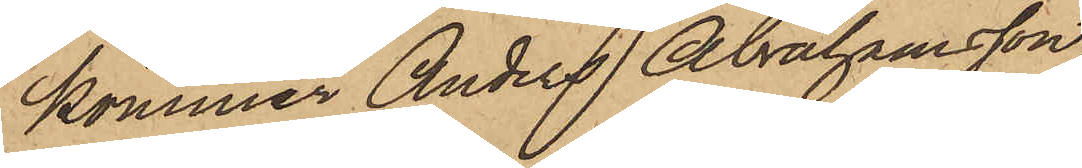kommer Anders Abrahamsson
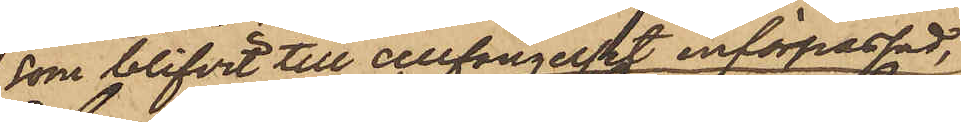som blifvit till cellfängelset införpassad,
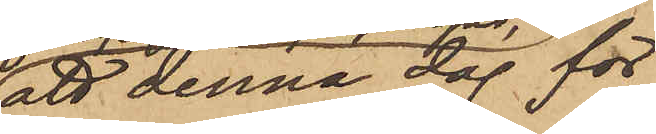att denna dag för
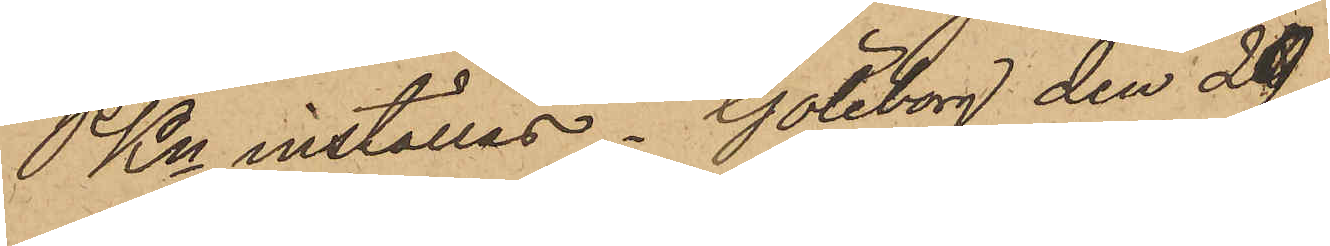PKn inställas. Göteborg den 29
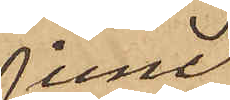Juni
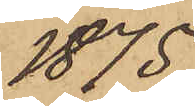1875.
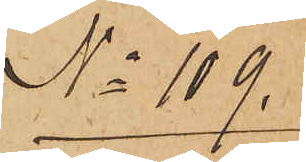No 109.
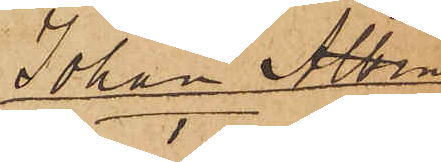Johan Albin
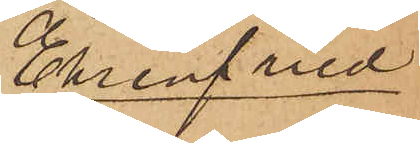Ehrenfried
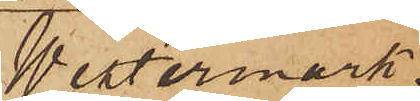Westermark.
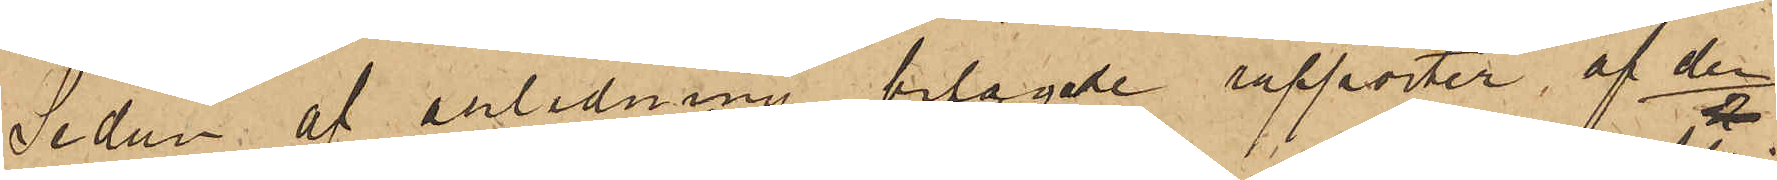Sedan af anledning bilagde rapporter, af den
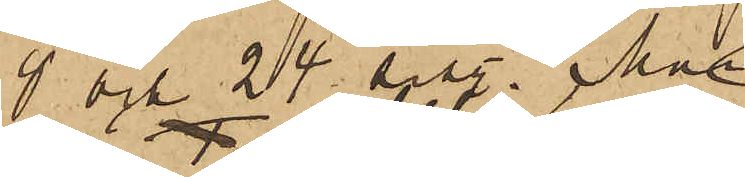8 och 24 sist. Mai
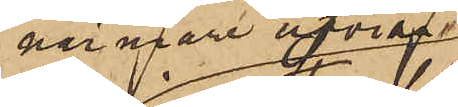närmare afvisa,
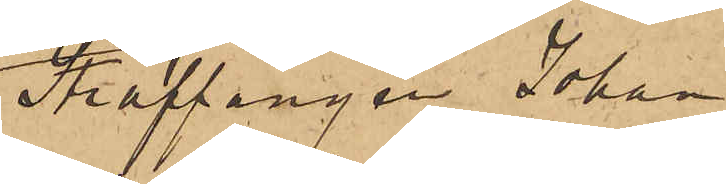Straffången Johan
